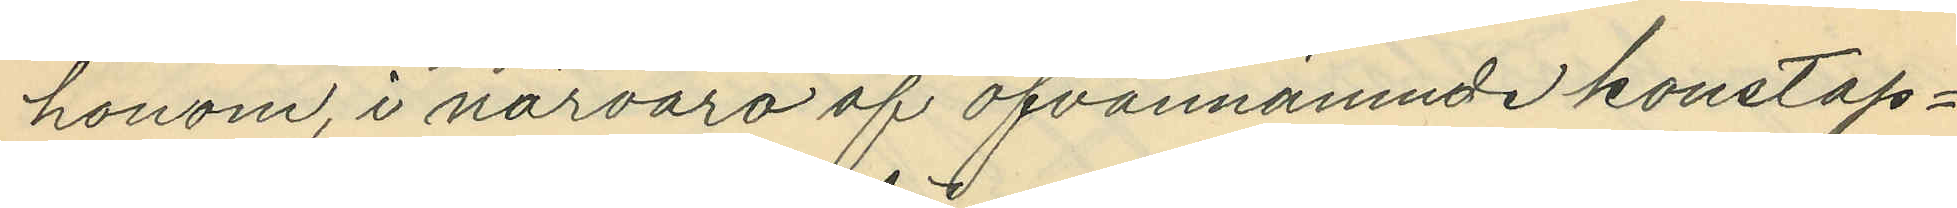honom, i närvaro af ofvannämnde konstap¬
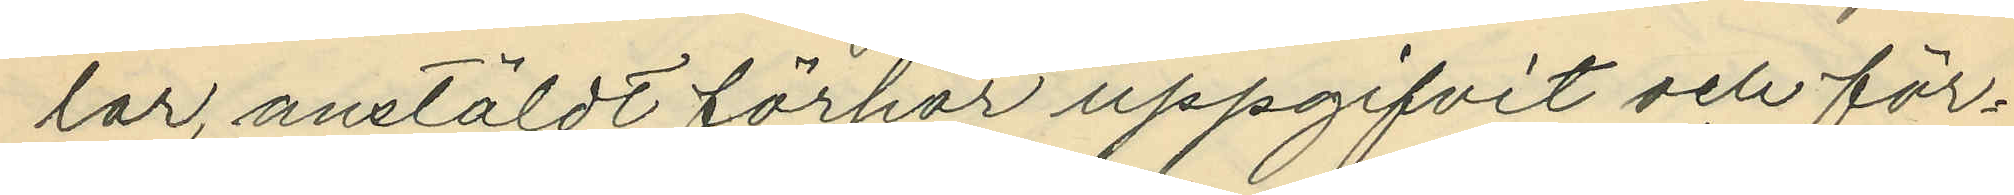lar, anstäldt förhör uppgifvit och för¬
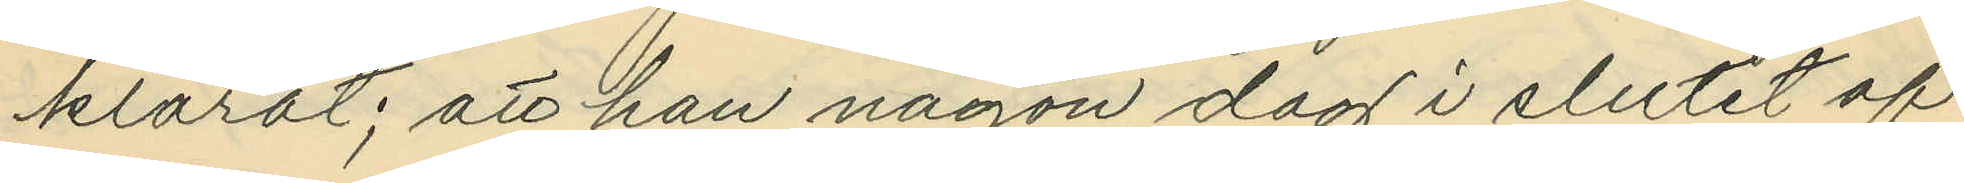klarat; att han någon dag i slutet af
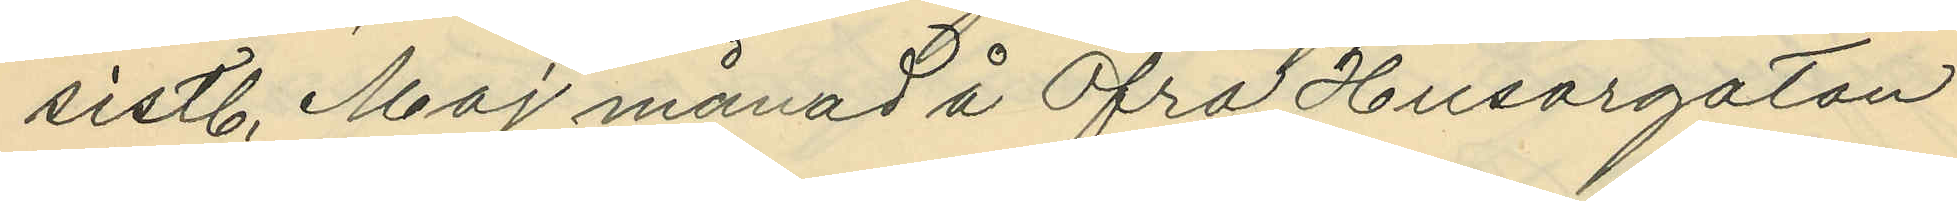sistl. Maj månad å Öfra Husargatan
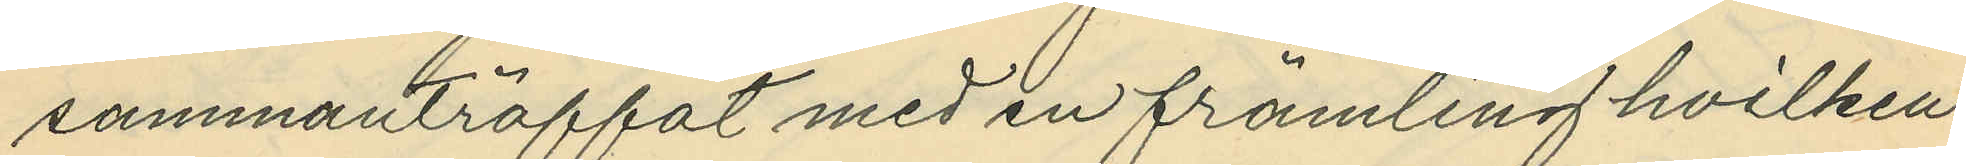sammanträffat med en främling hvilken
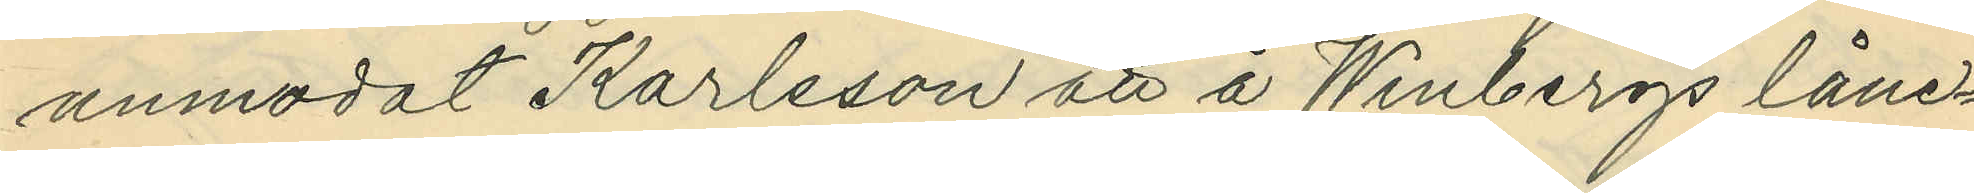anmodat Karlsson att å Winbergs låne¬
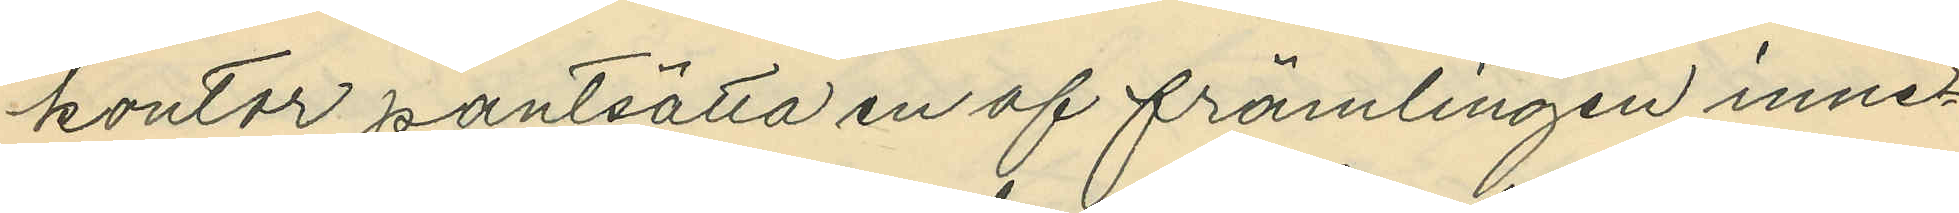kontor pantsätta en af främlingen inne¬
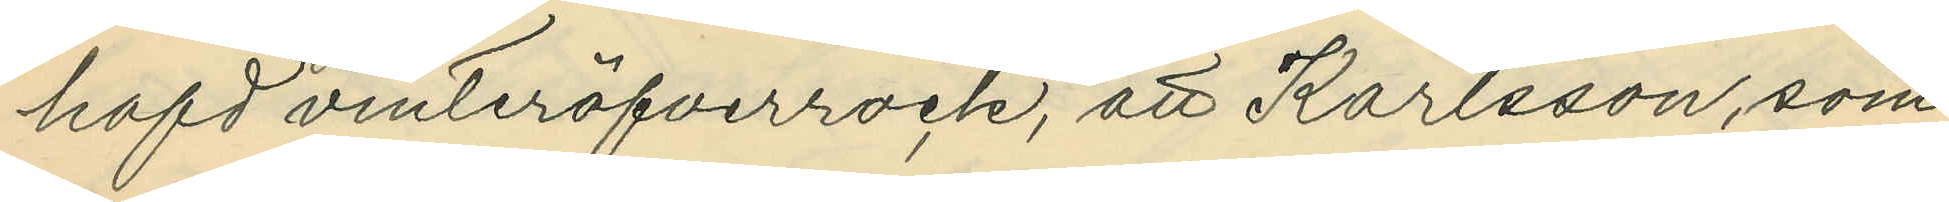hafd vinteröfverrock, att Karlsson, som
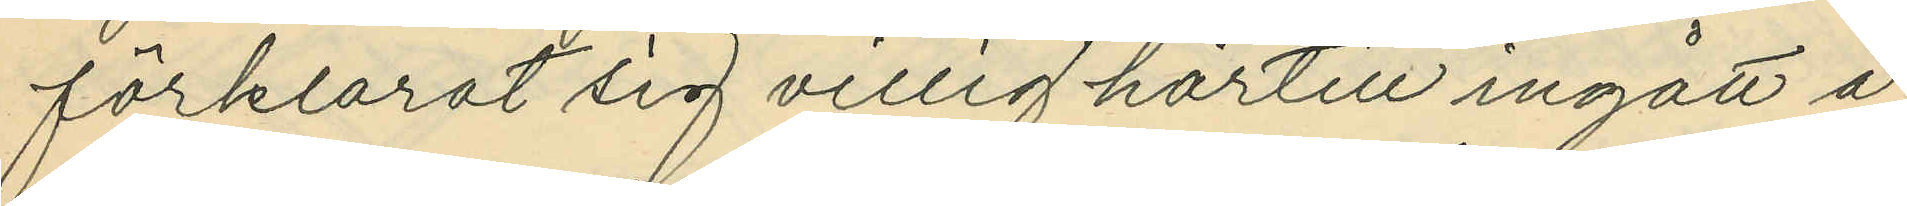förklarat sig villig härtill ingått å
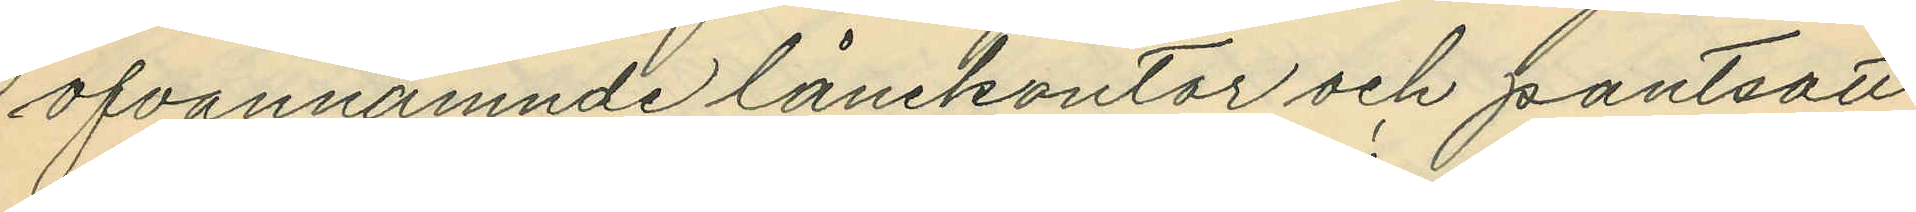ofvannämnde lånekontor och pantsatt
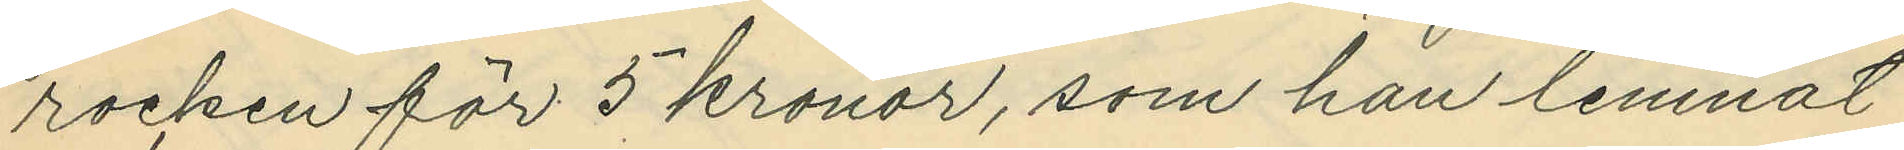rocken för 5 kronor, som han lemnat
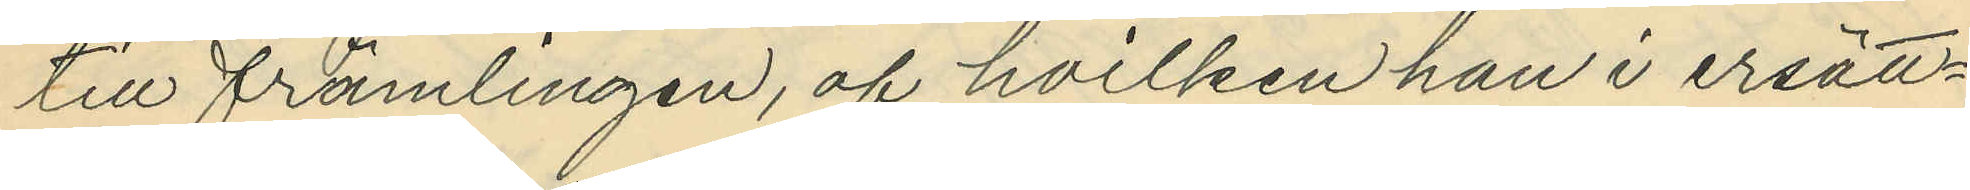till främlingen, af hvilken han i ersätt¬
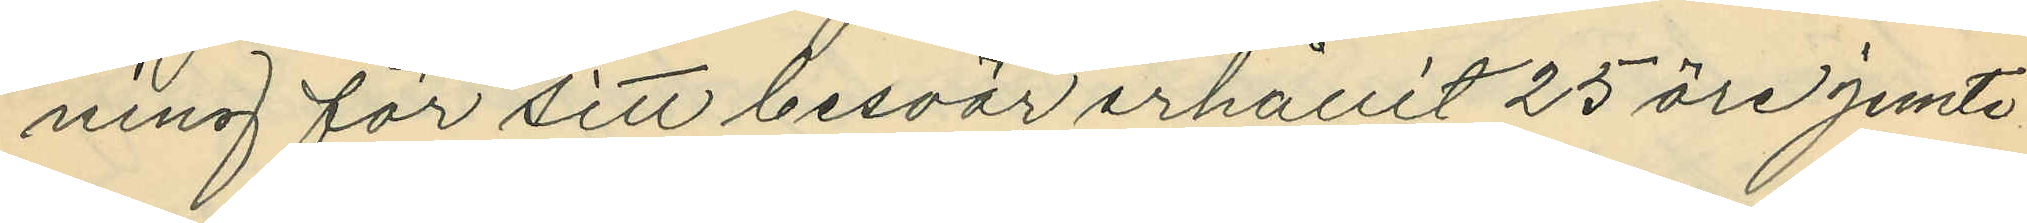ning för sitt besvär erhållit 25 öre jemte
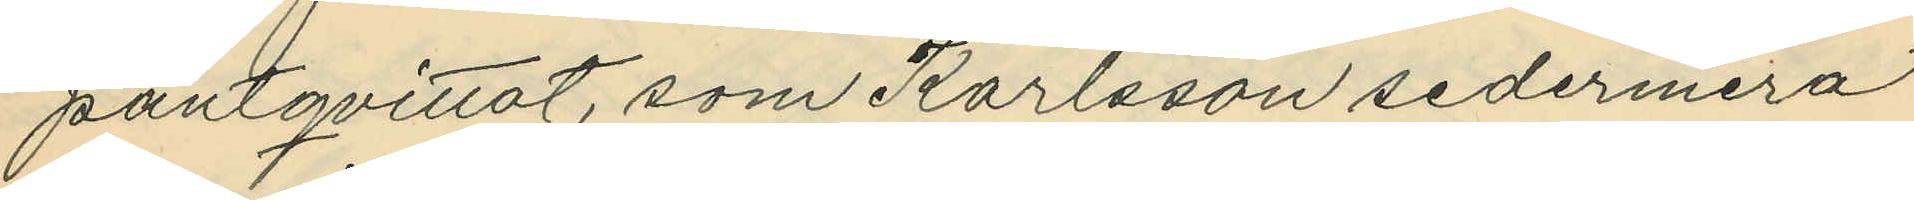pantqvittot, som Karlsson sedermera
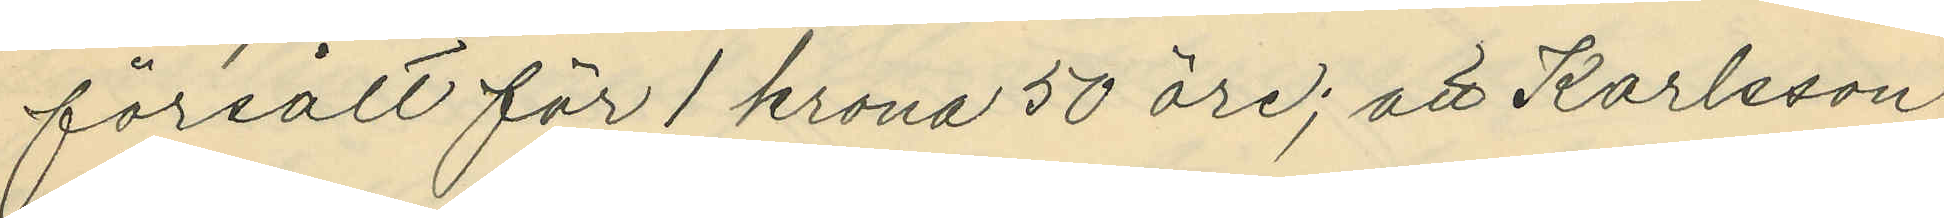försålt för 1 krona 50 öre; att Karlsson
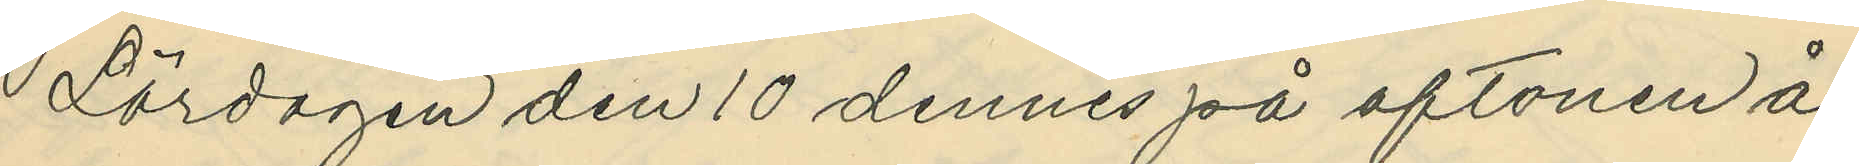Lördagen den 10 dennes på aftonen å
